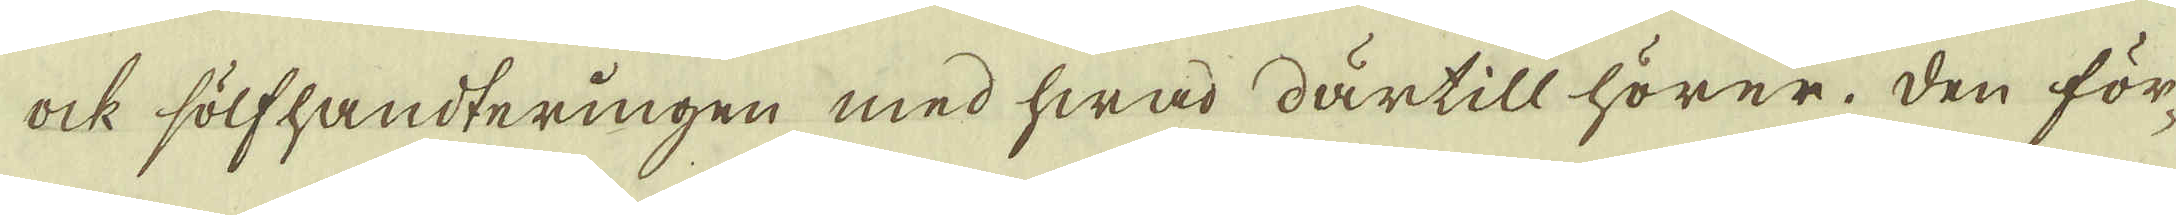ock sölfhandteringen med hwad därtill hörer. Den för-
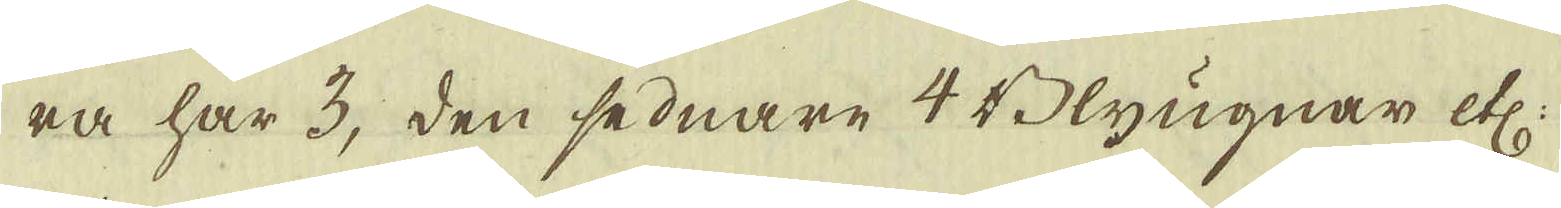ra har 3, den sednare 4 Blyugnar etc:
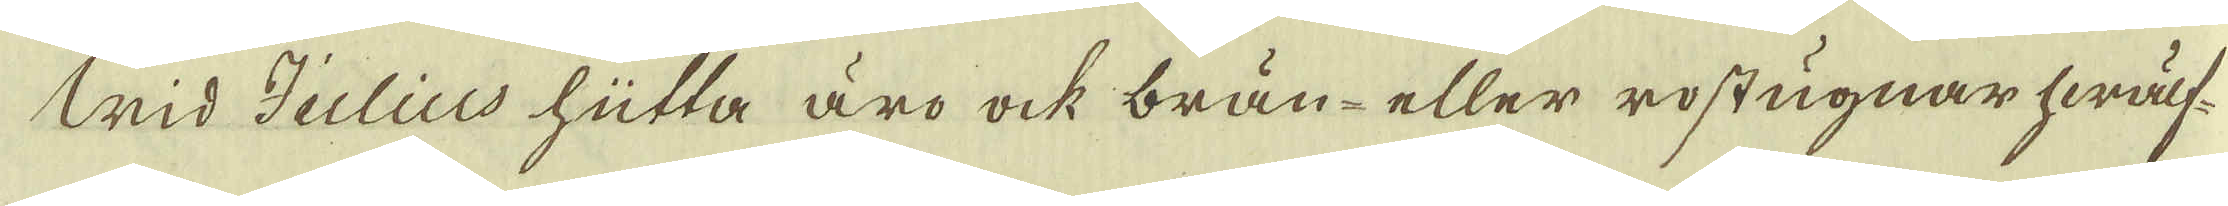Wid Julius hütta äro ock brän- eller rostugnar hwälf-
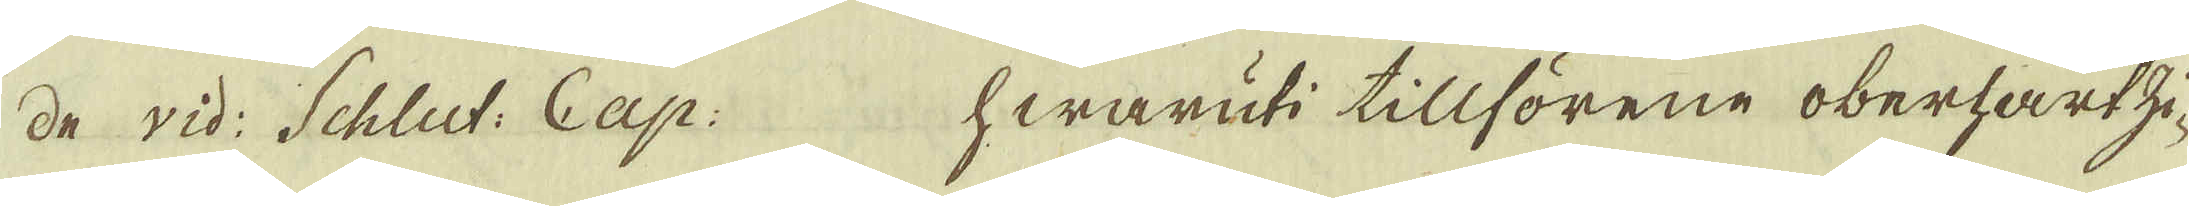de vid: Schlut: Cap: hwaruti tillförene oberharzi-
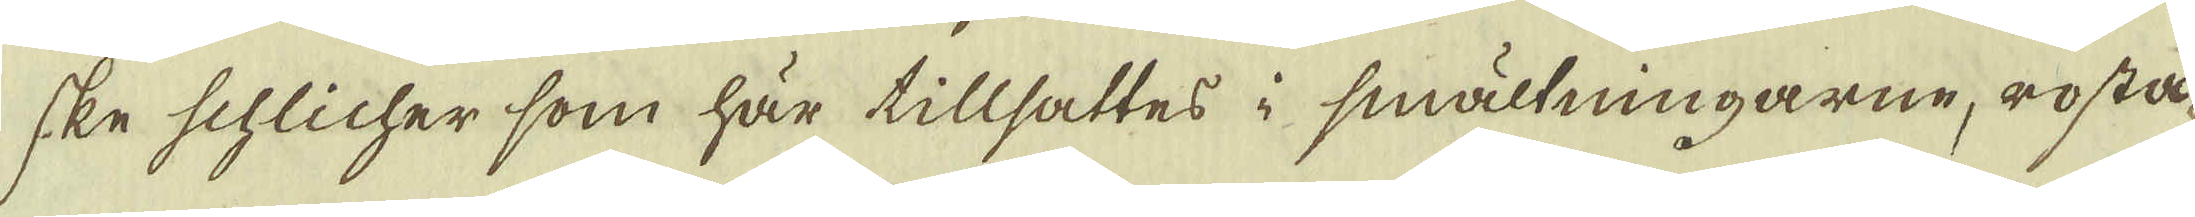ske schlicher som här tillsattes i smältningarne, rosta-
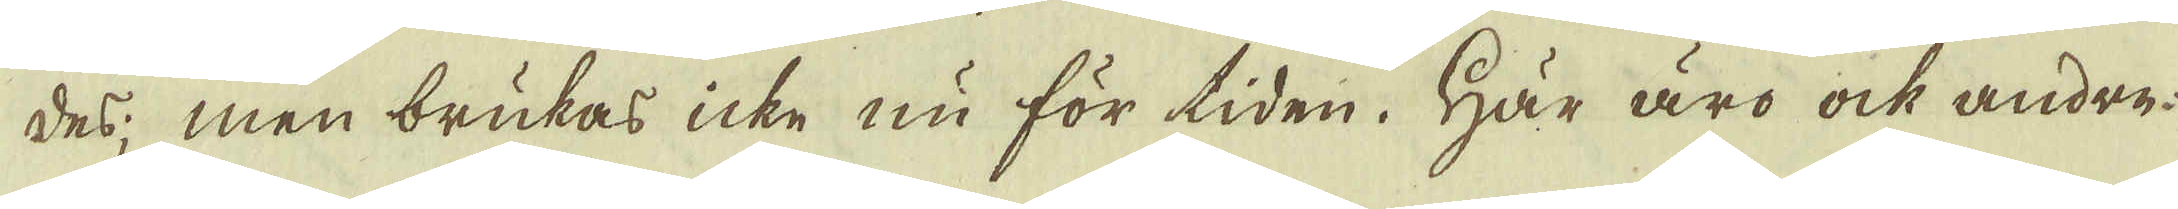des; men brukas icke nu för tiden. Här äro ock andre
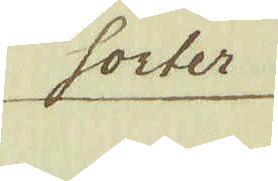sorter
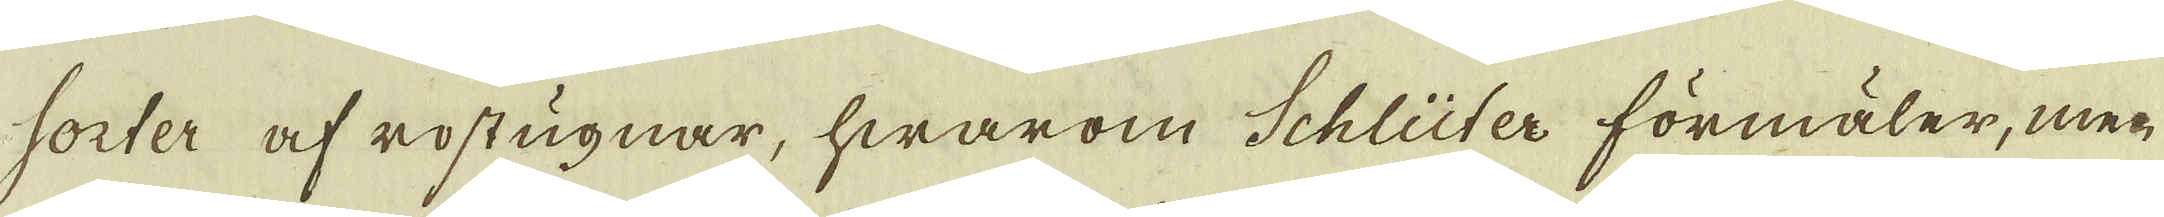sorter af rostugnar, hwarom Schlüter förmäler, men
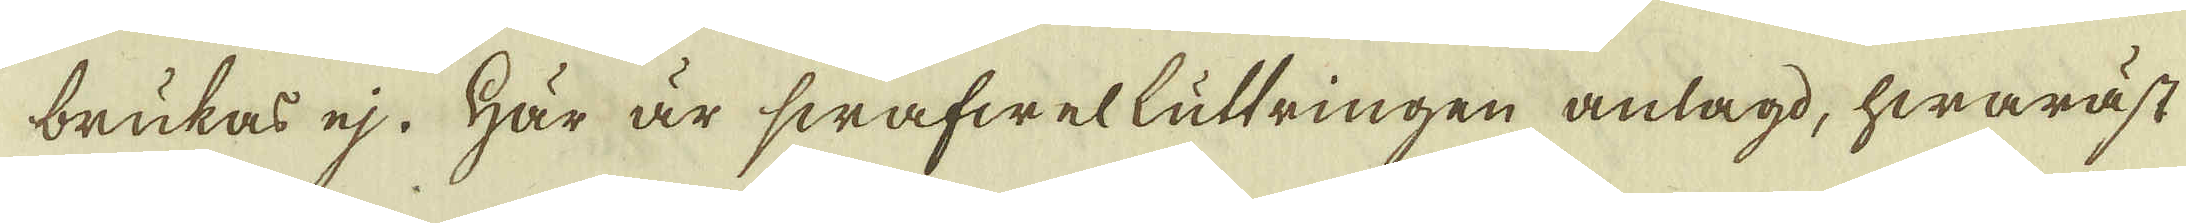brukas ej. Här är swafwelluttringen anlagd, hwaräst
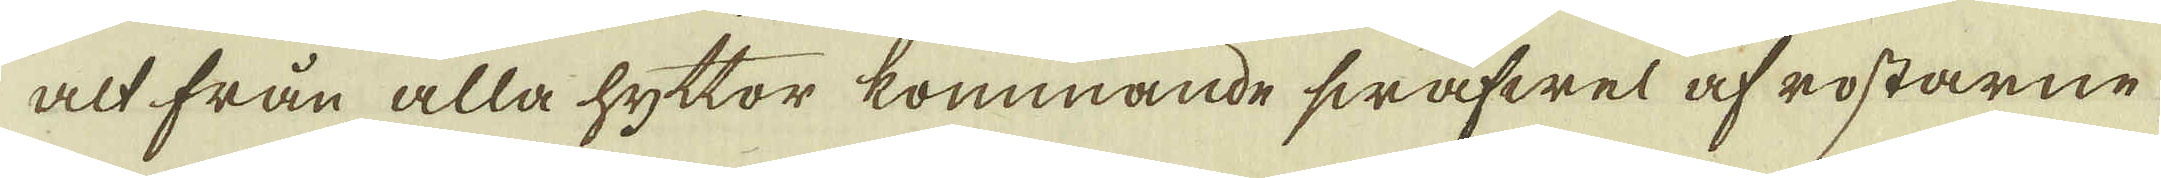alt från alla hyttor kommande swafwel af rostarne
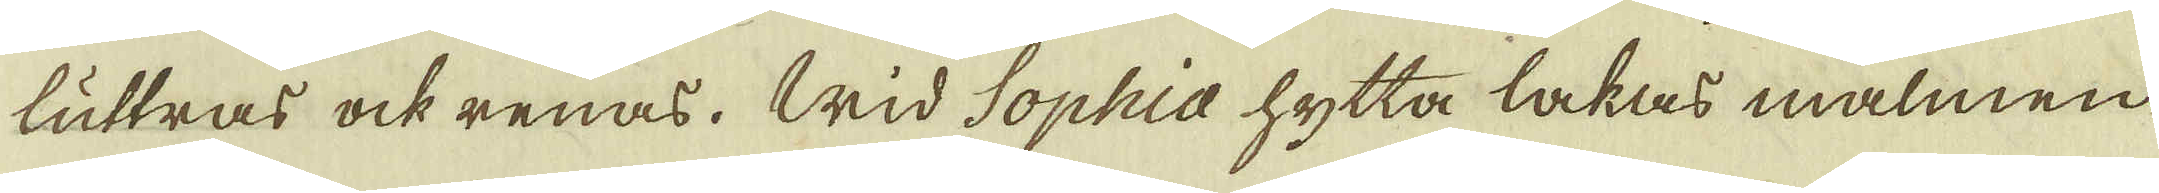luttras ock renas. Wid Sophia hytta lakas malmen
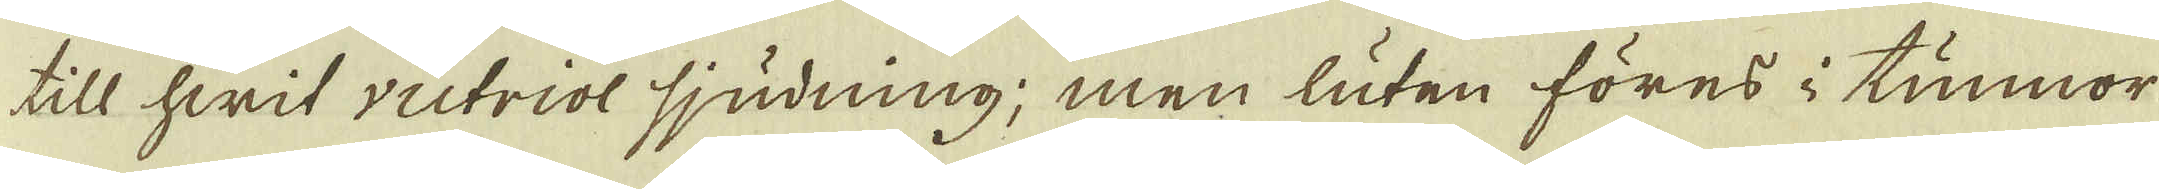till hwit victriol sjudning; men luten föres i tunnor
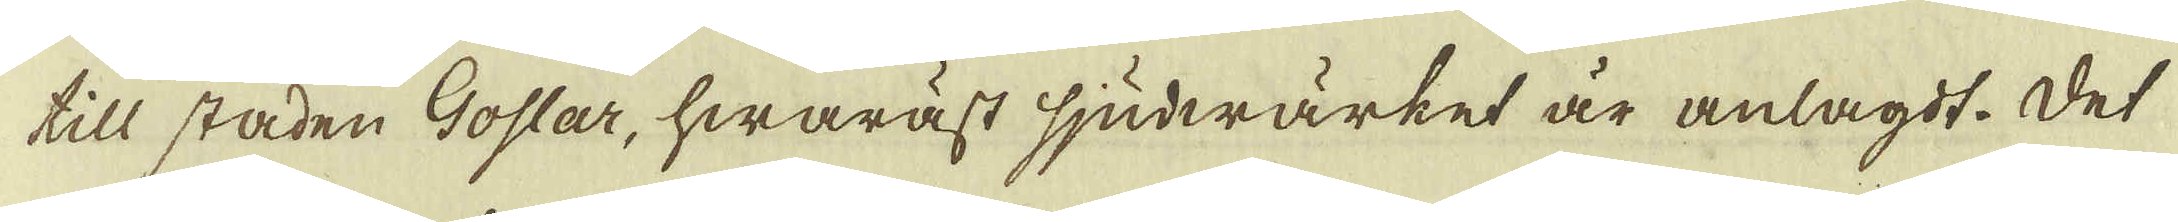till staden Goslar, hwaräst sjuderwärket är anlagdt. Det
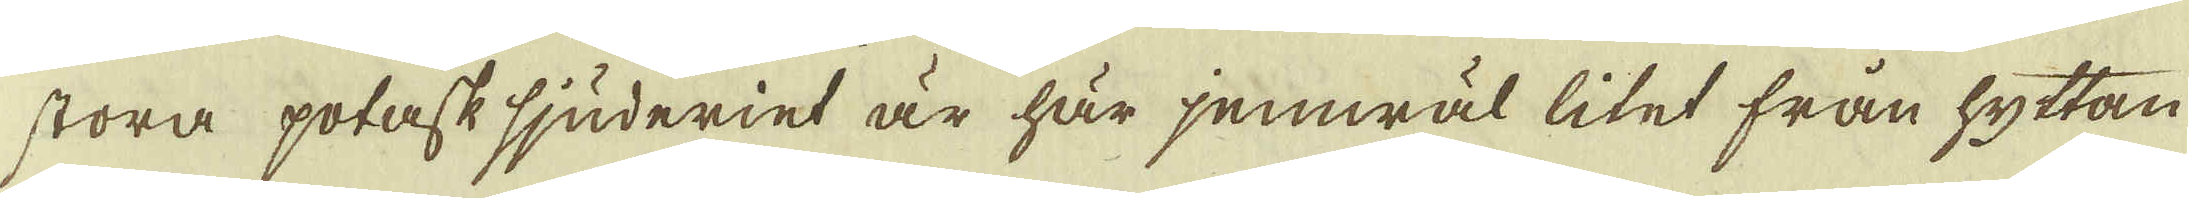stora potask sjuderiet är här jemwäl litet från hyttan
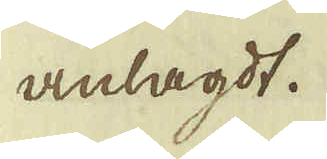anlagdt.
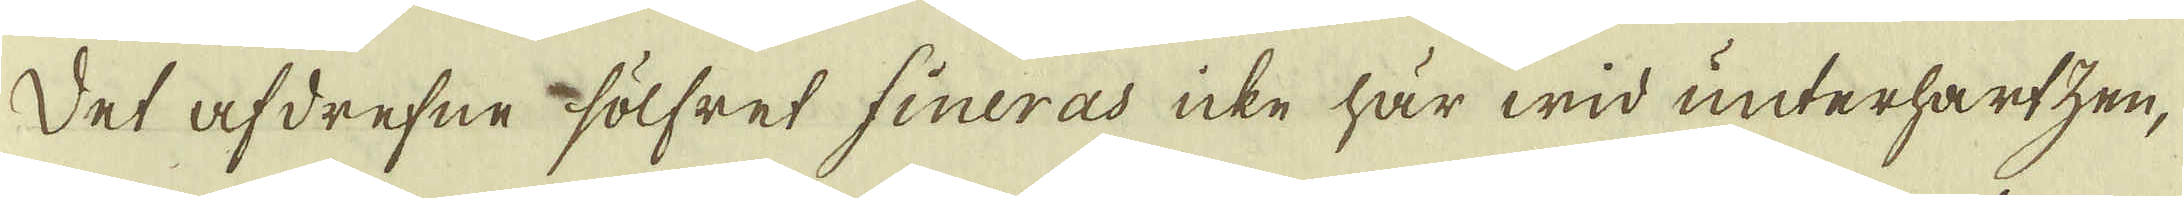Det afdrefne sölfret fineras icke här wid unterhartzen,
